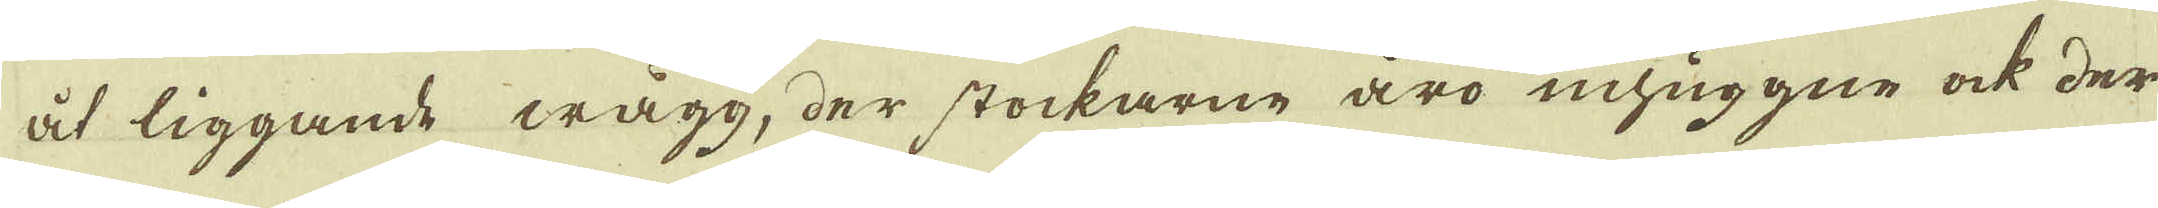åt liggande wägg, der stockarne äro inhuggne ock der
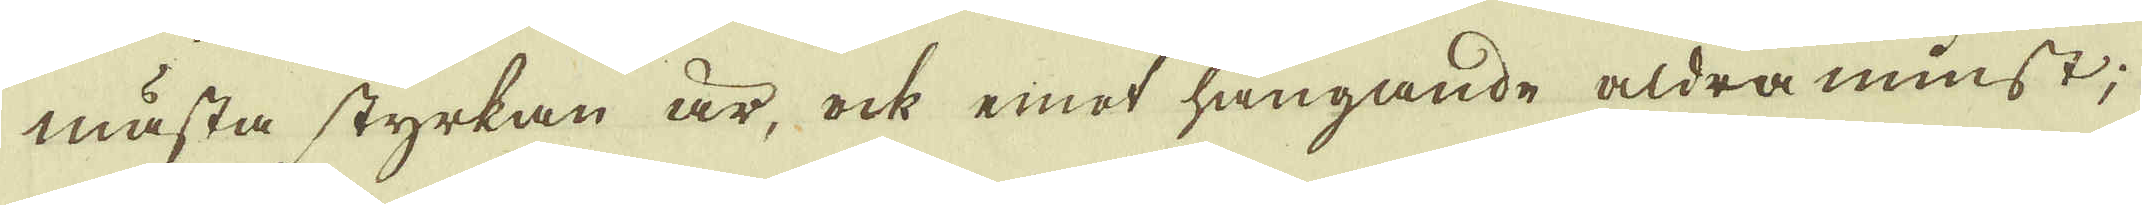mästa styrkan är, ock emot hängande aldra minst;
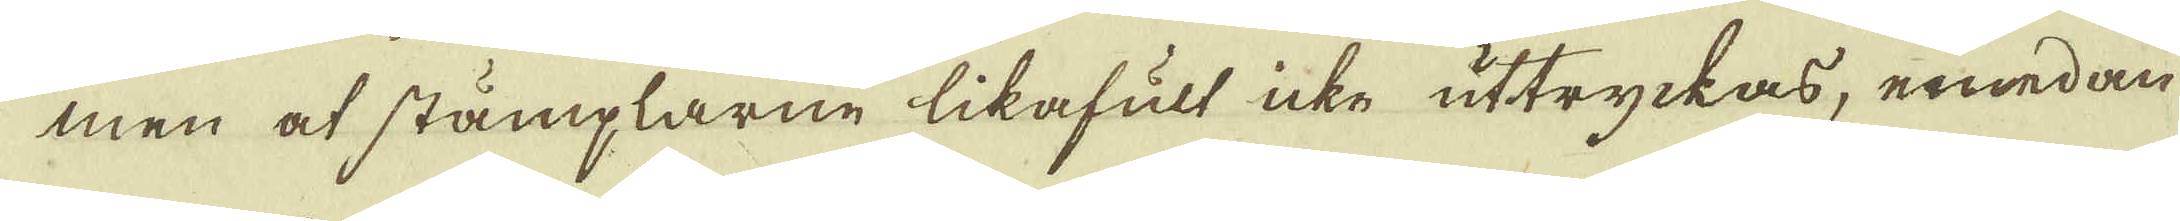men at stämplarne likafult icke uttryckas, emedan
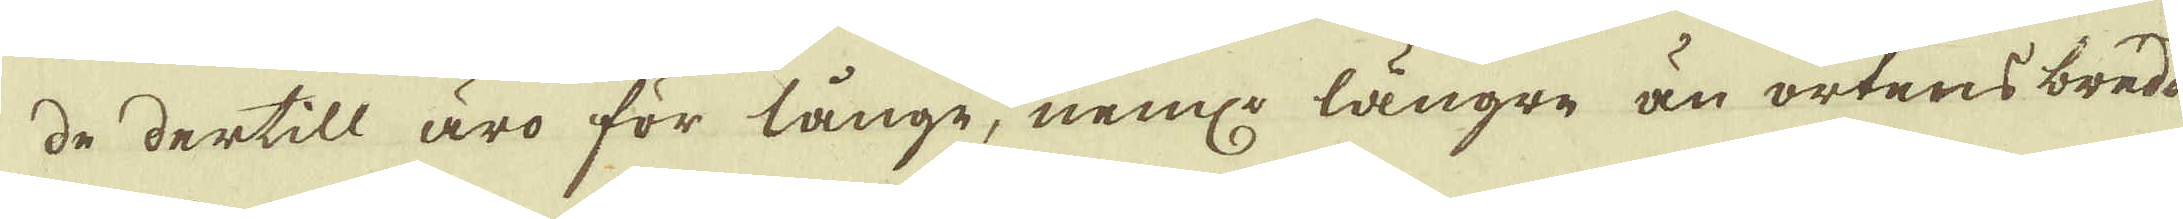de dertill äro för långe, neml: längre än ortens bredd.
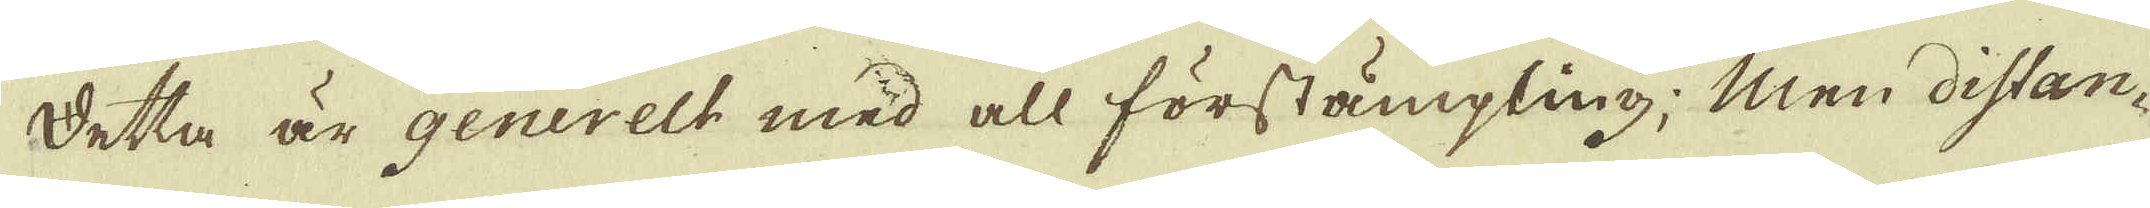Detta är generelt med all förstämpling; Men distan-
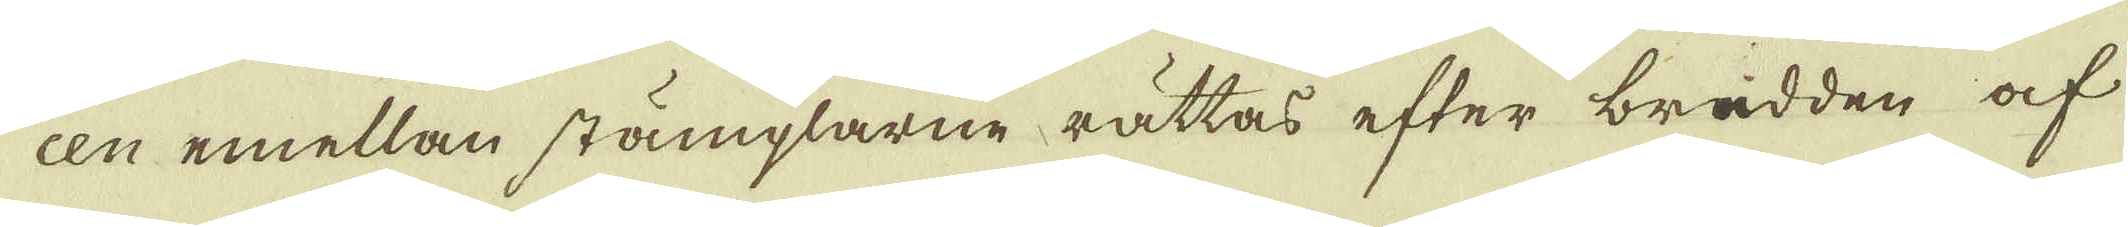cen emellan stämplarne rättas efter brädden af
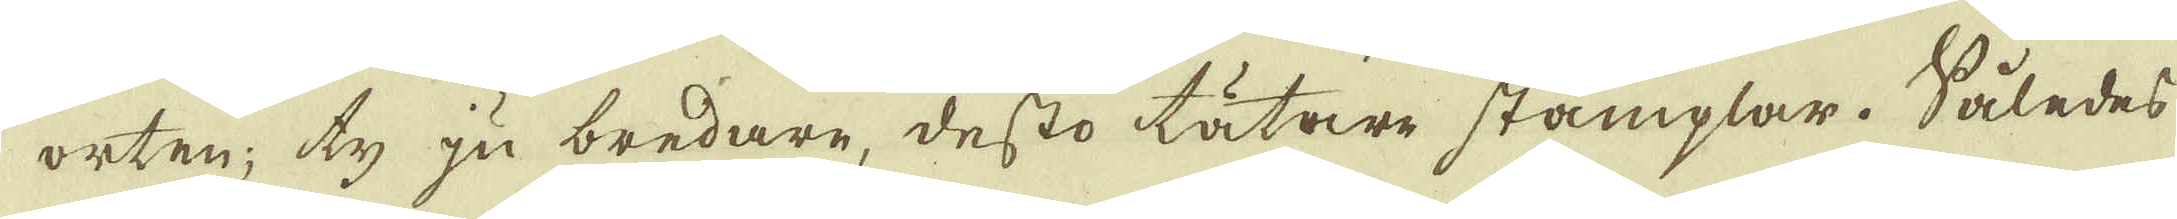orten; ty ju bredare, desto tätare stämplar. Således
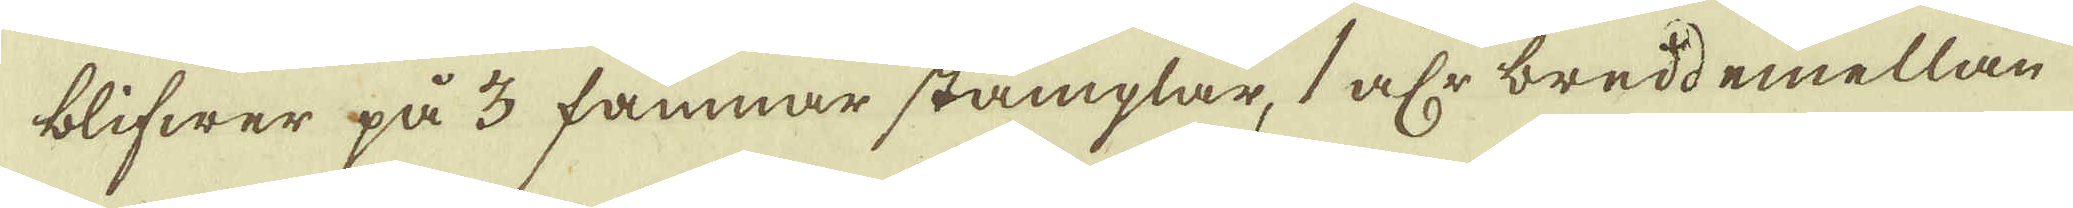blifwer på 3 famnar stämplar, 1 alr bredd emellan -
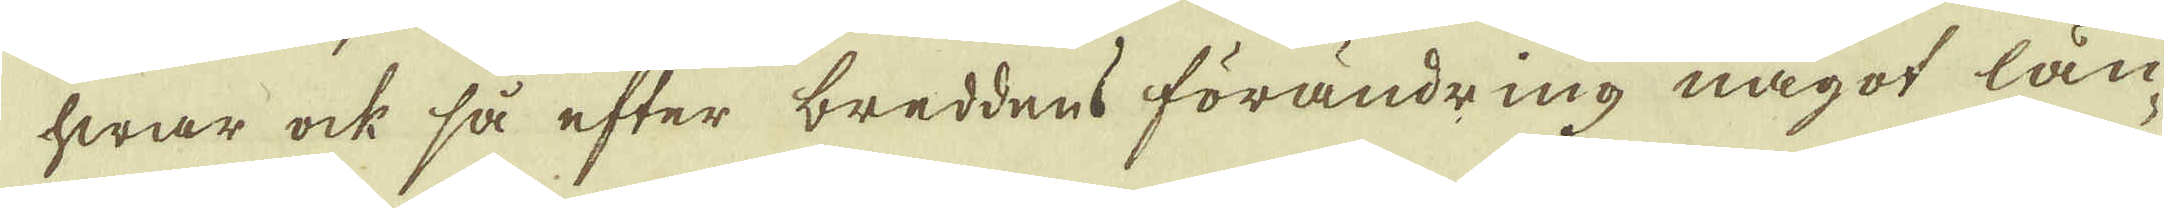hwar ock så efter breddens förandring något län-
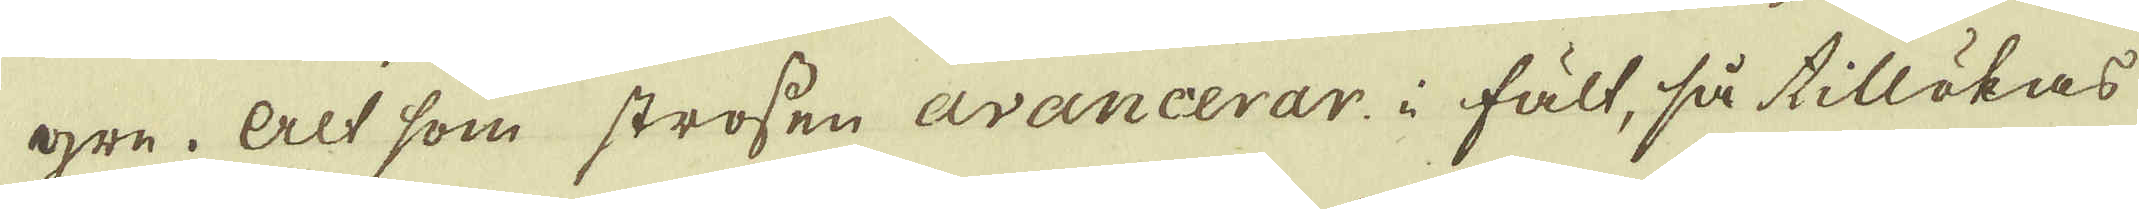gre. Alt som strossen avancerar i fält, så tillökas
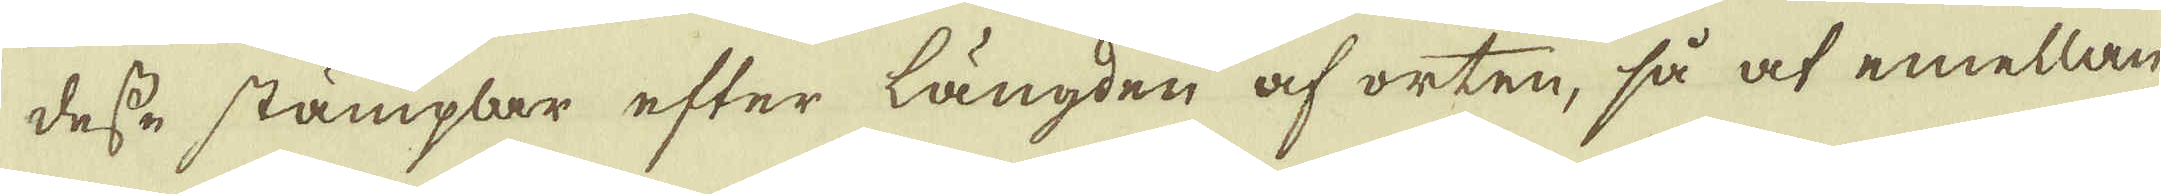desse stämplar efter längden af orten, så at emellan
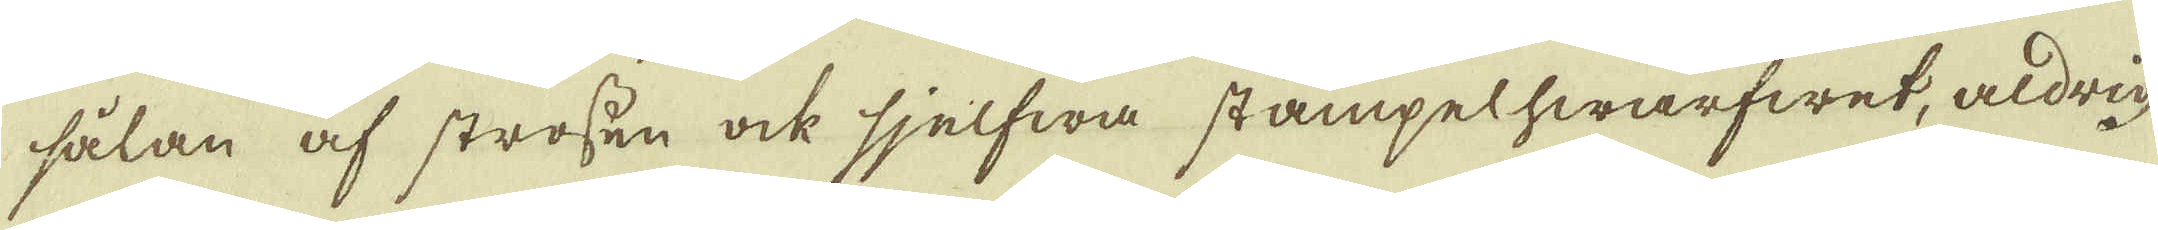sålan af strossen ock sjelfwa stämpelhwarfwet, aldrig
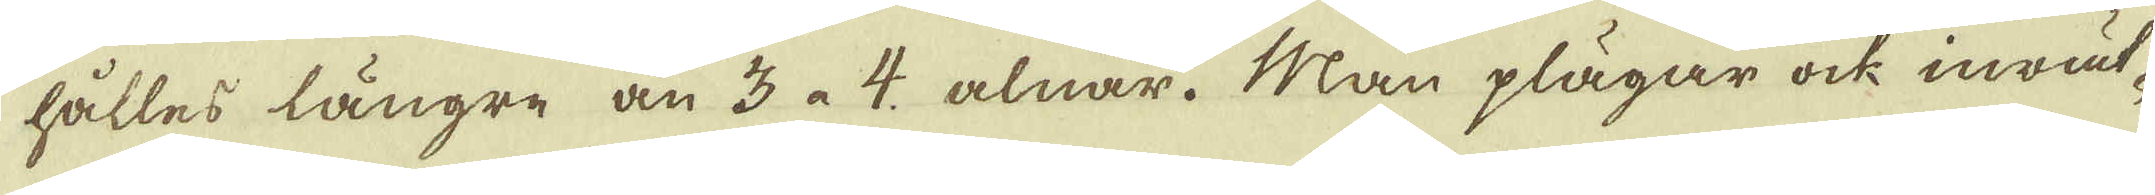hålles längre än 3 à 4 alnar. Man plägar ock inrät-
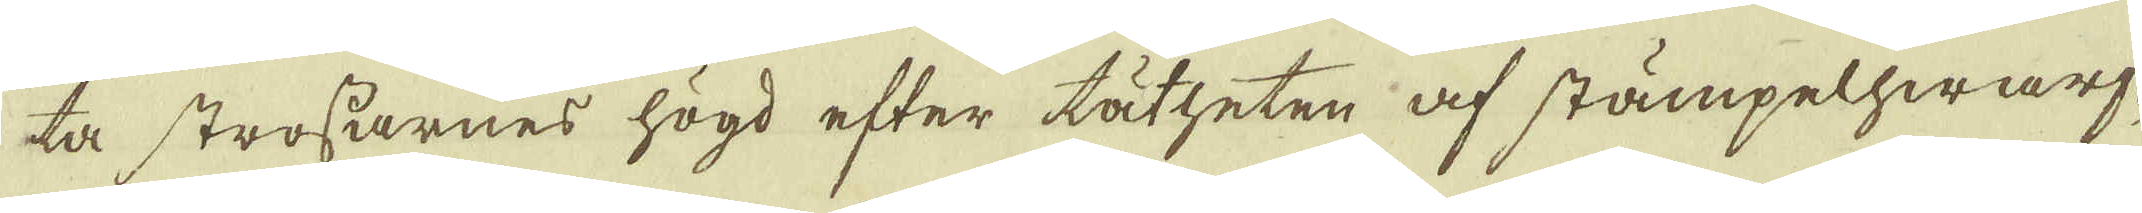ta strossarnes högd efter tätheten af stämpelhwarf-
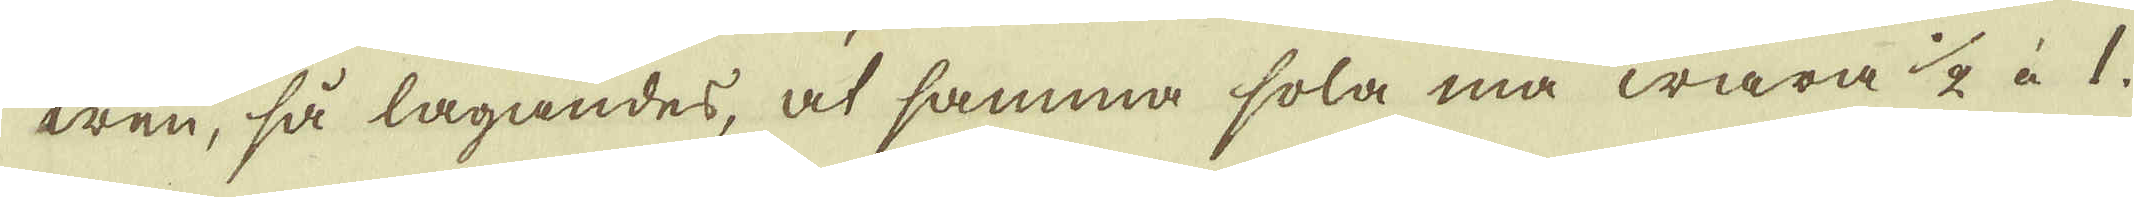wen, så lagandes, at samma sola må wara 1/2 à 1
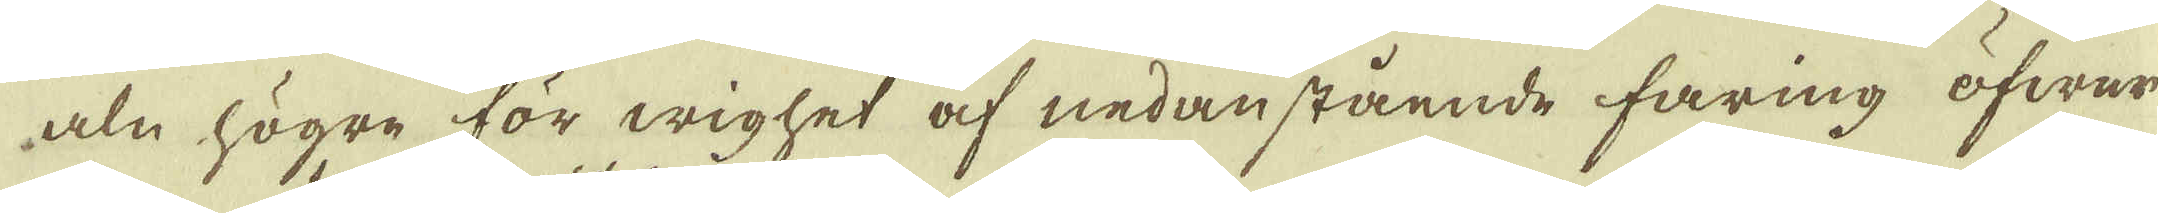aln högre för wighet af nedanstående faring öfwer
